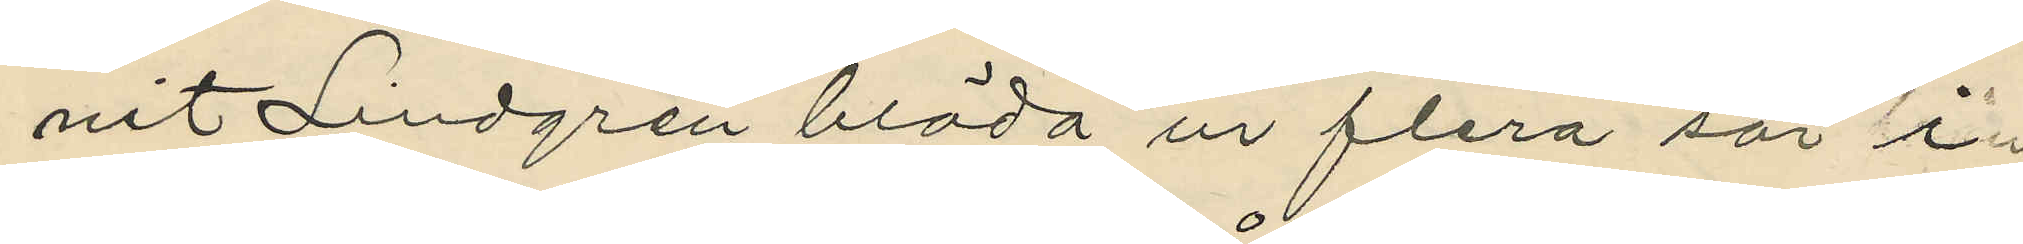nit Lindgren blöda ur flera sår i
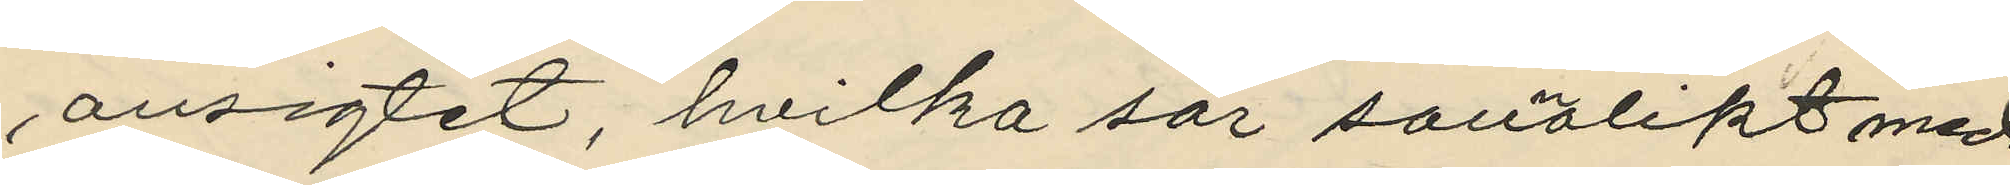ansigtet, hvilka sår sannolikt med
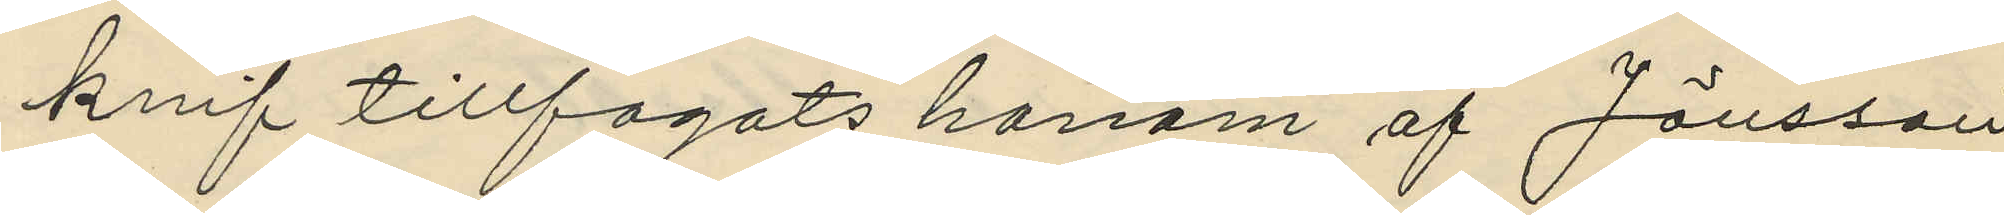knif tillfogats honom af Jönsson
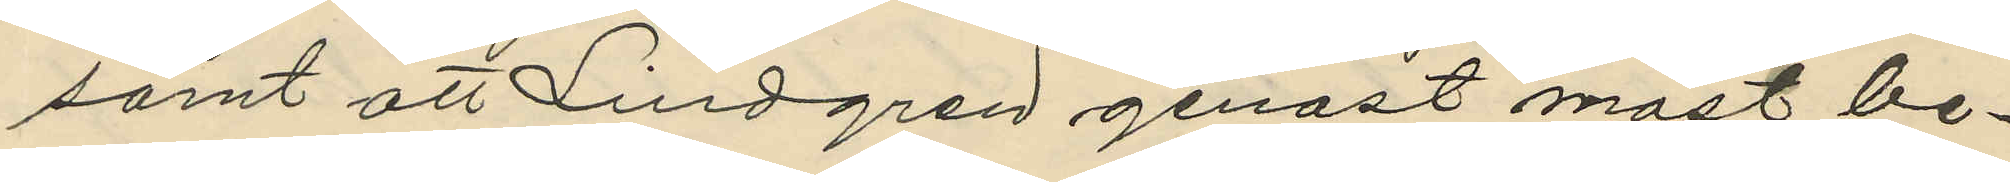samt att Lindgren genast måst be¬
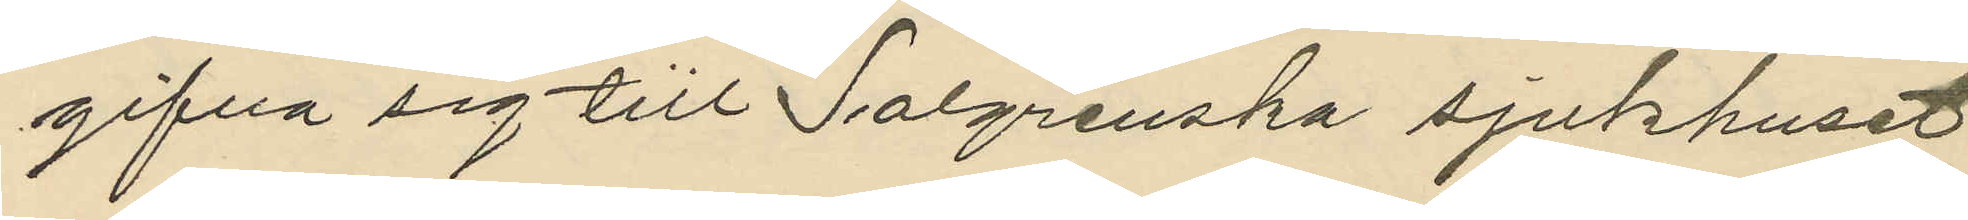gifva sig tiil Salgrenska sjukhuset
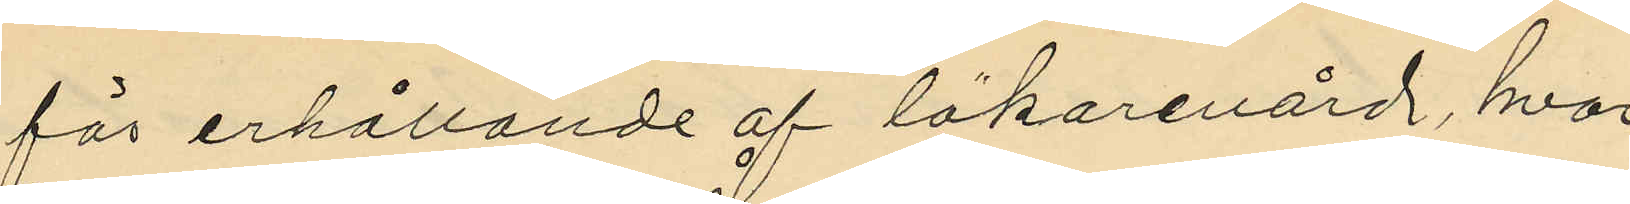för erhållande af läkarevård, hvar¬
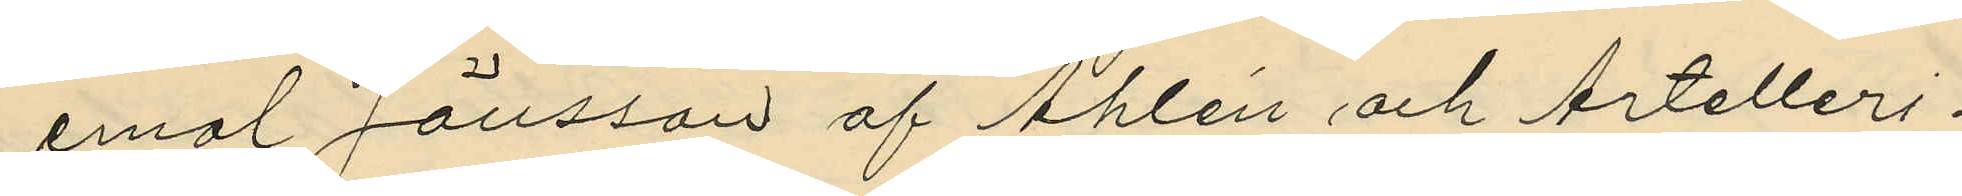emol Jönsson af Åhlén och Artelleri¬
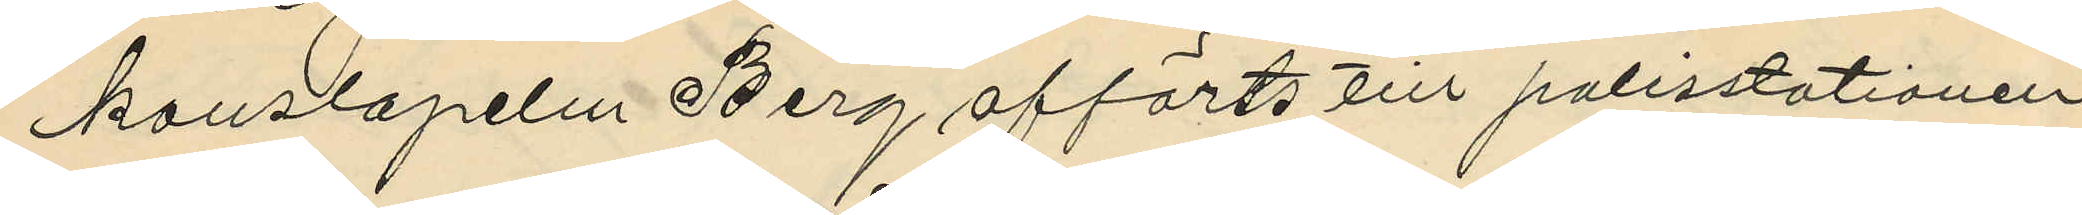konslapelm Berg afförts till polisstationen
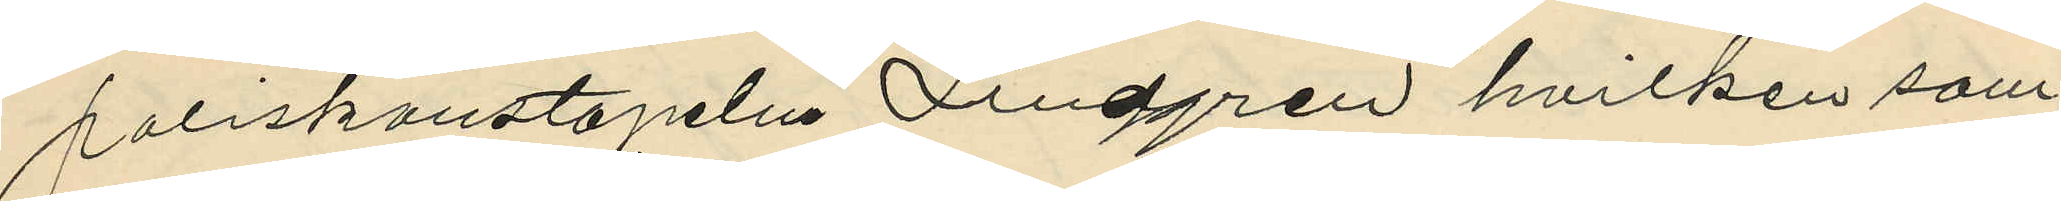poliskonstapeln Lindgren hvilken sam¬
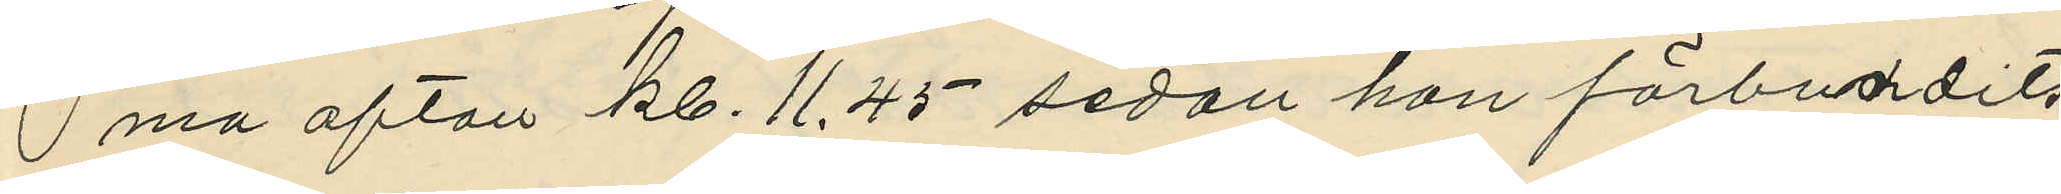ma afton kl. 11.45 sedan han förbundits
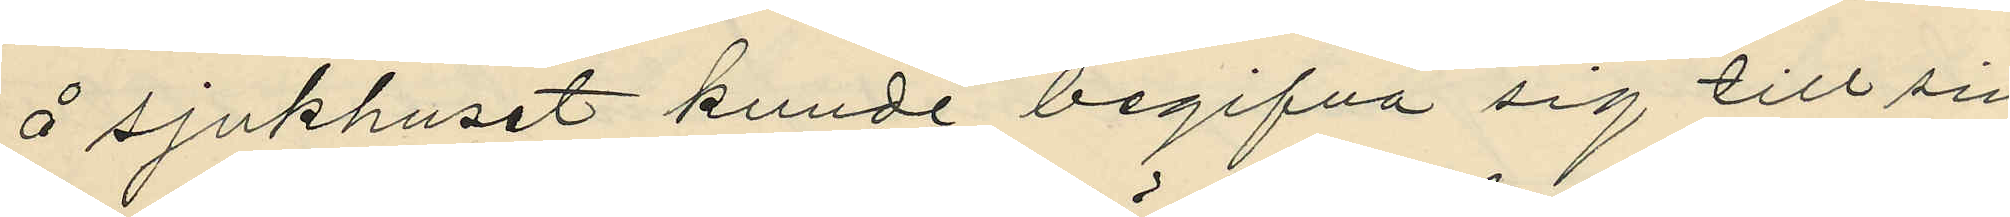å sjukhuset kunde begifva sig till sin
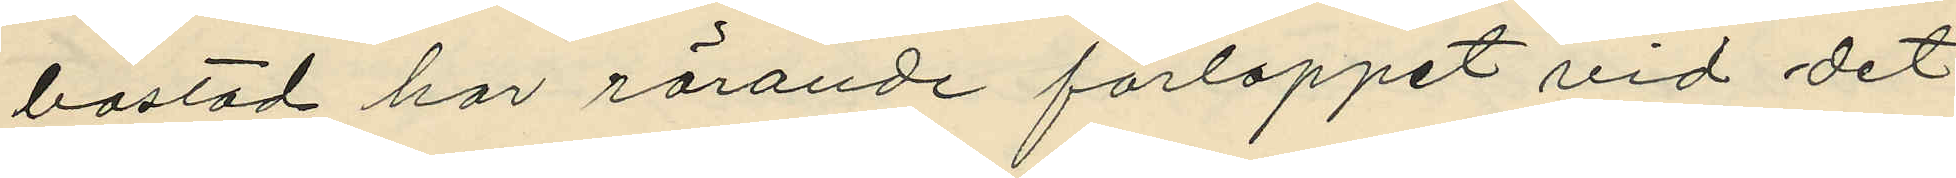bostad har rörande förloppet vid det
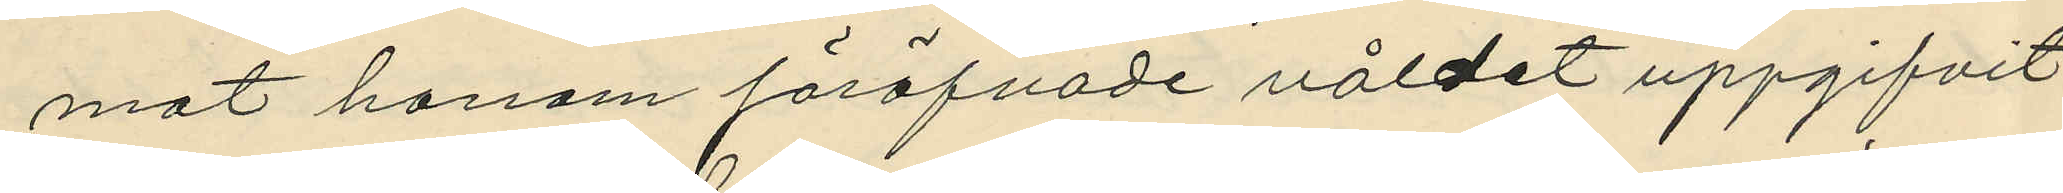mot honom föröfvade våldet uppgifvit
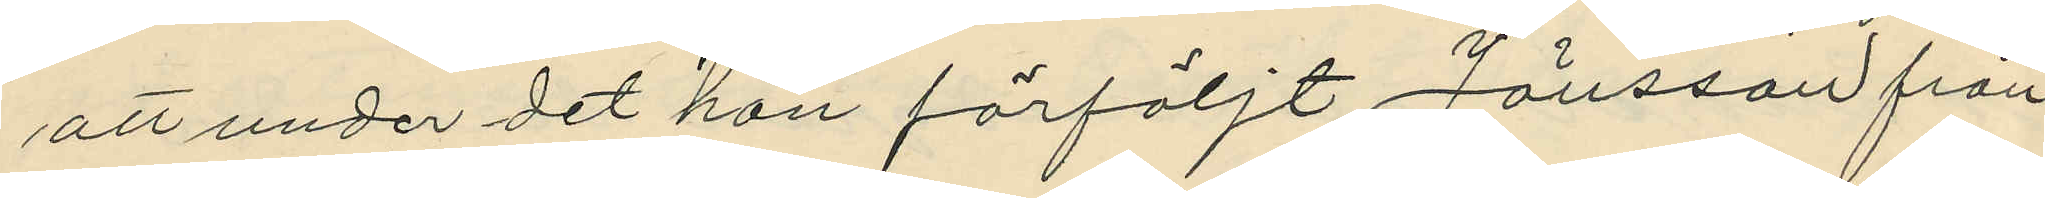att under det han förföljt Jönsson från
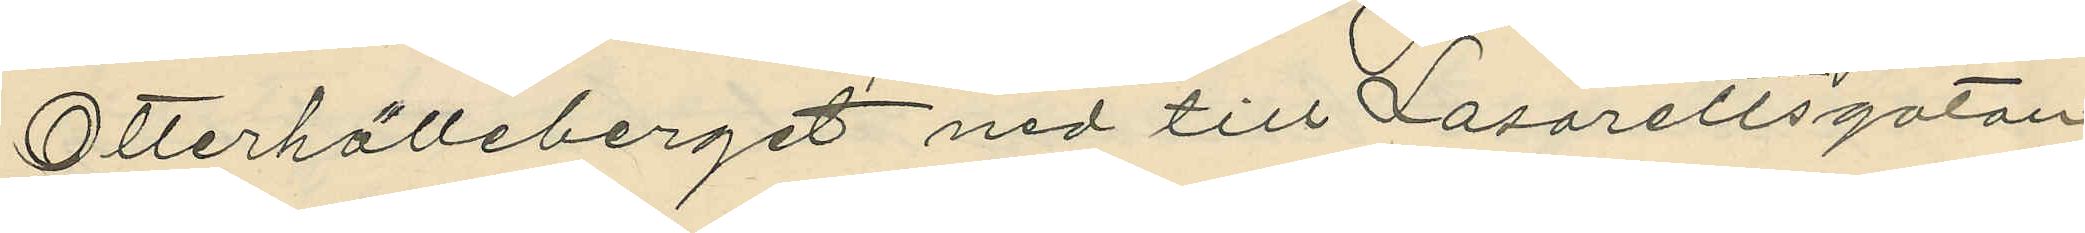Otterhälleberget ned till Lasarettsgatan
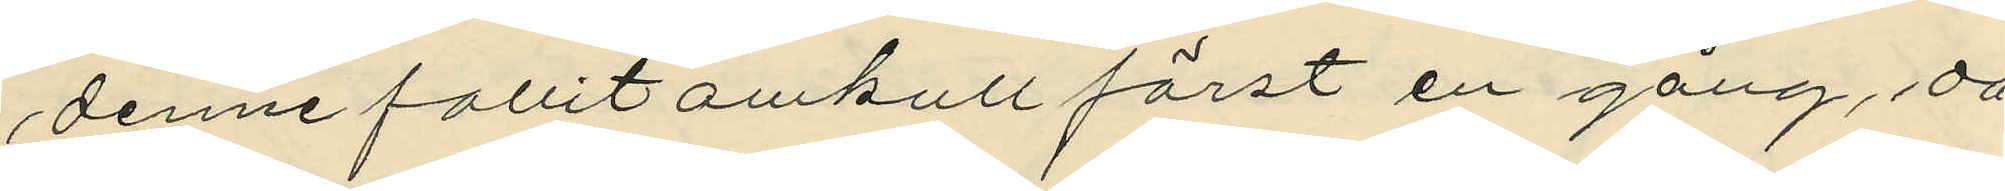denne fallit omkull först en gång, då
